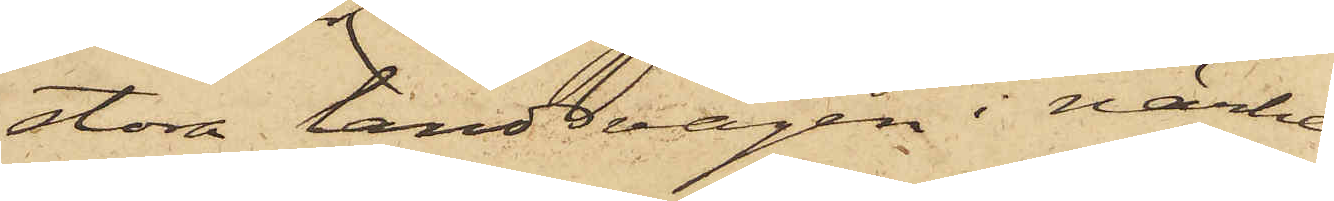stora landsvägen i närhe¬
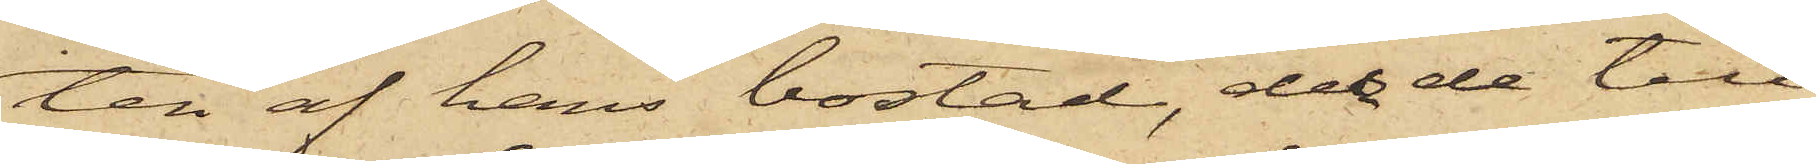ten af hans bostad, der de till
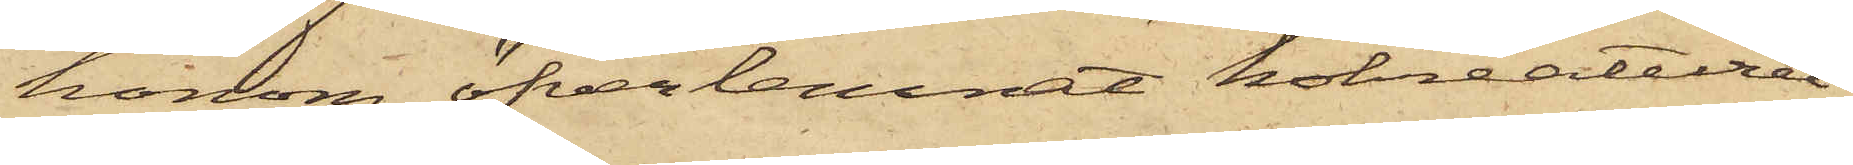honom öfverlemnat kokreaturet
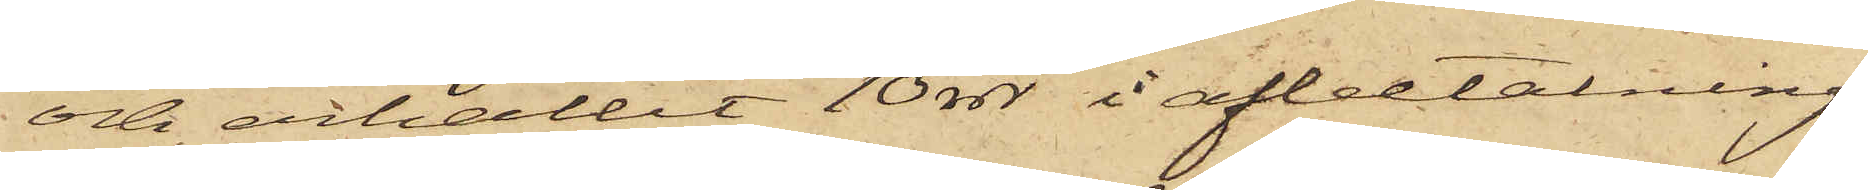och erhållit 10 rdr i afbetalning
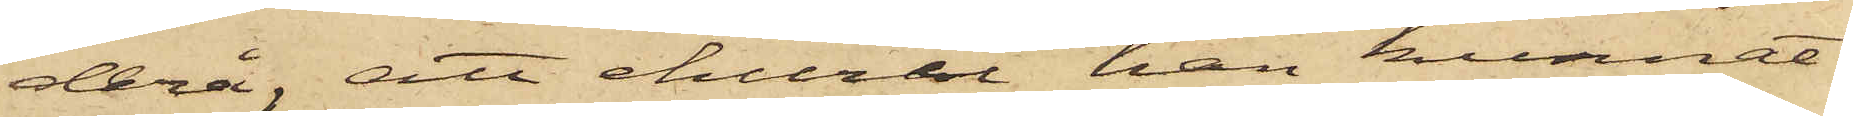derå, att ehuru han kunnat
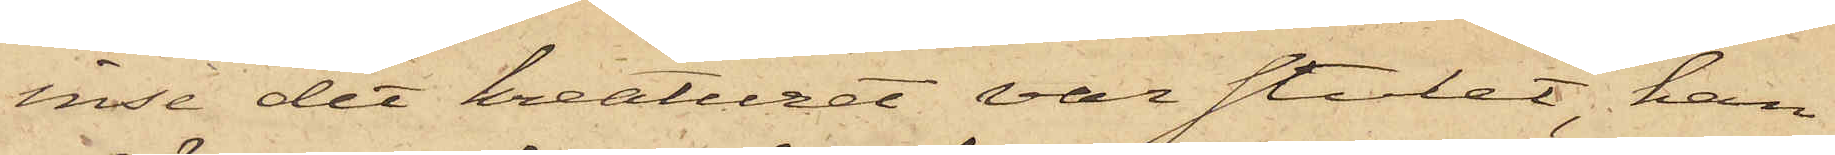inse det kreaturet var stulet, han
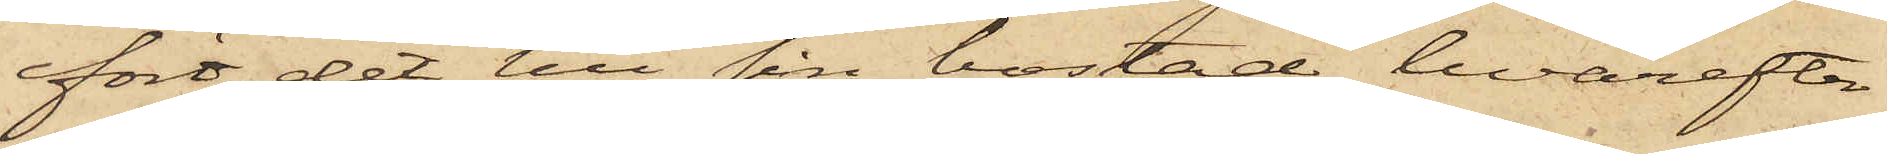fört det till sin bostad, hvarefter
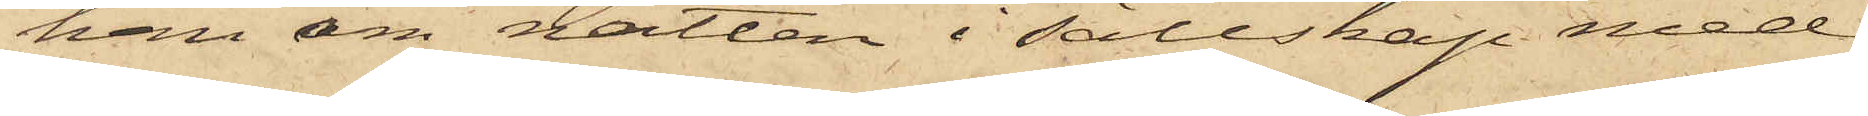han om natten i sällskap med
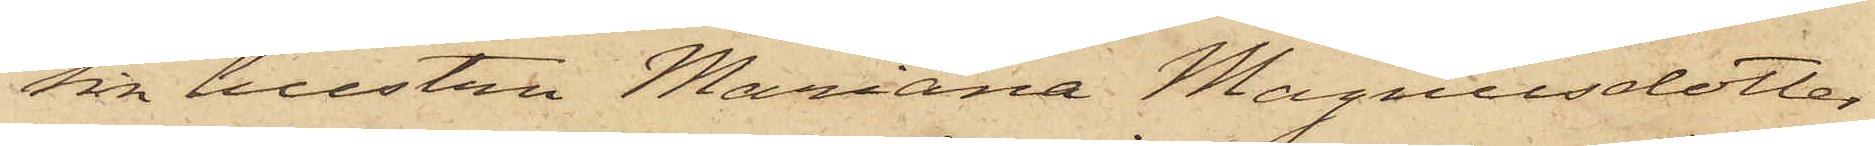sin hustru Mariana Magnusdotter
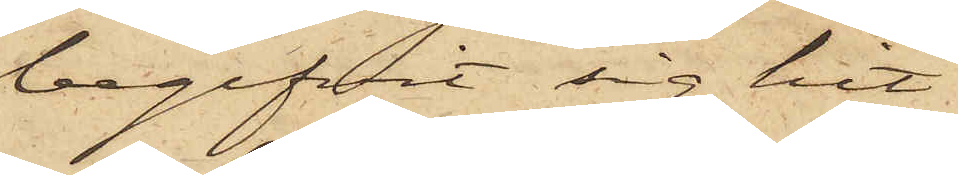begifvit sig hit
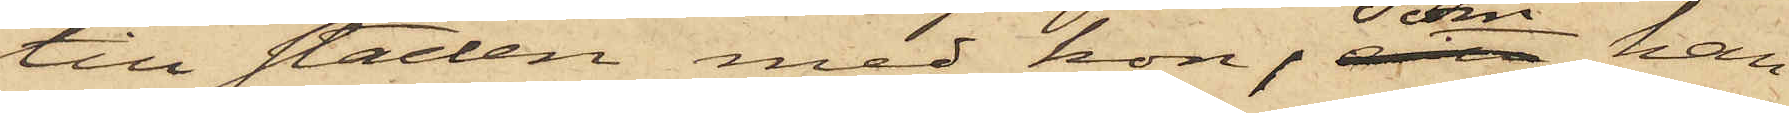till staden med kon, som han
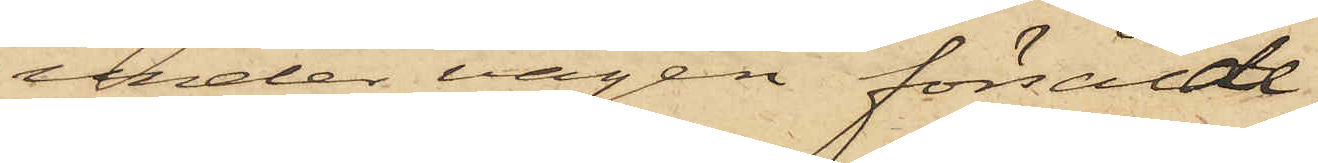under vägen försålde
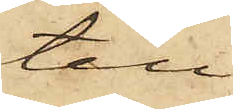till
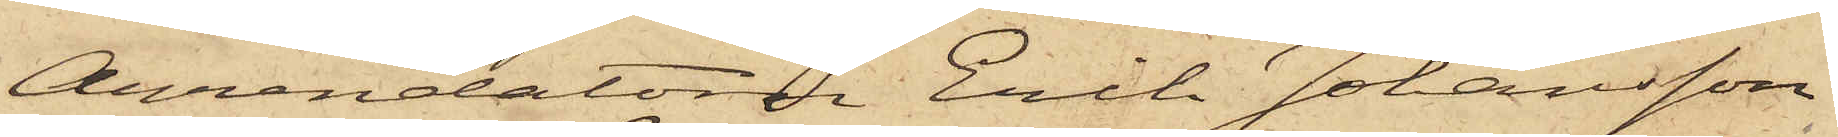Arrendatorn Erik Johansson,
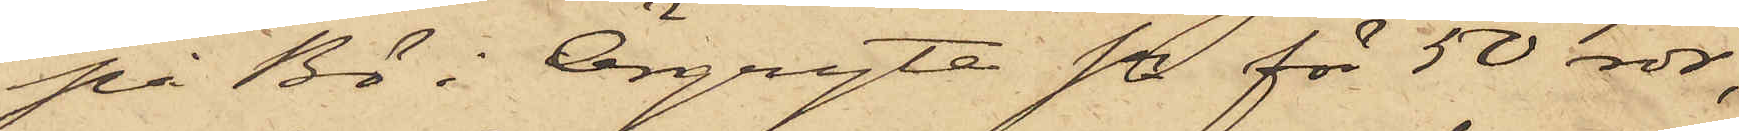på Bö i Örgryte Sn för 50 rdr,
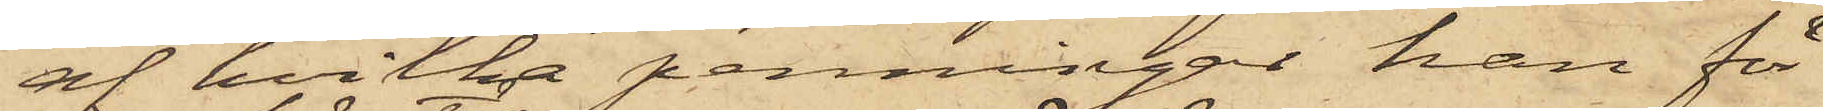af hvilka penningar han för
